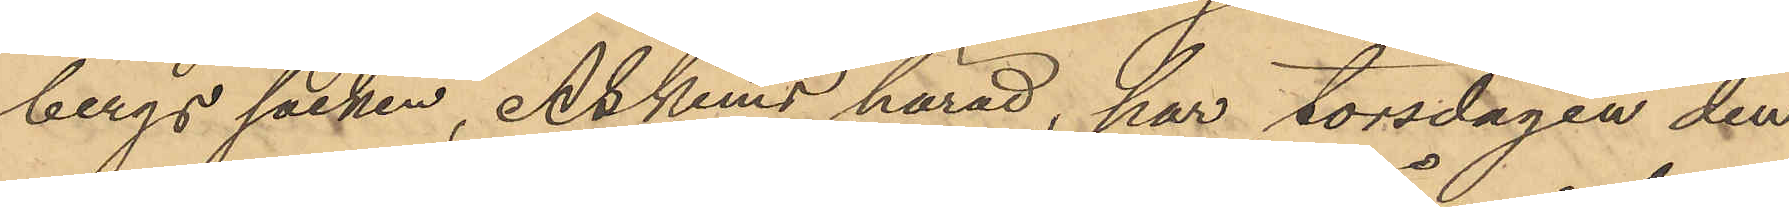bergs socken, Askims härad, har torsdagen den
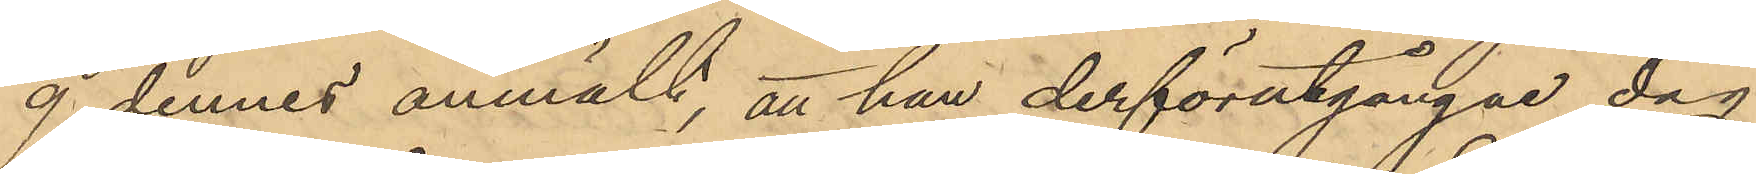9 dennes anmält, att han derförutgångne dag
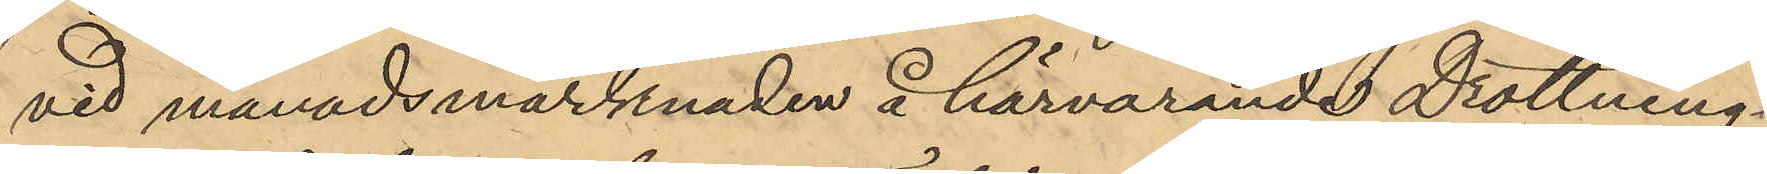vid månadsmarknaden å härvarande Drottning¬
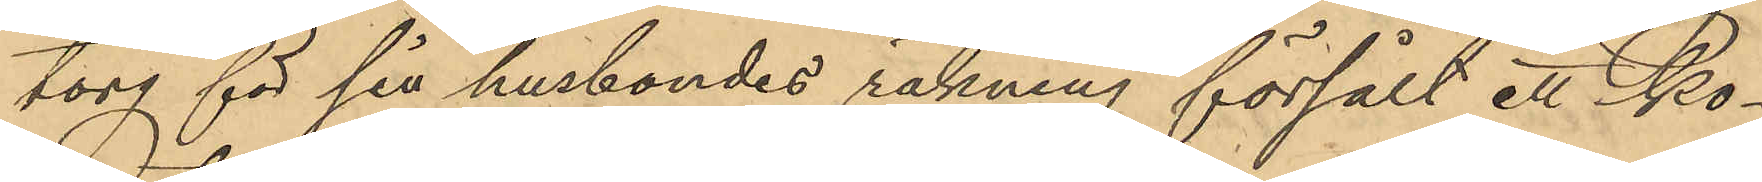torg för sin husbondes räkning försålt ett ko¬
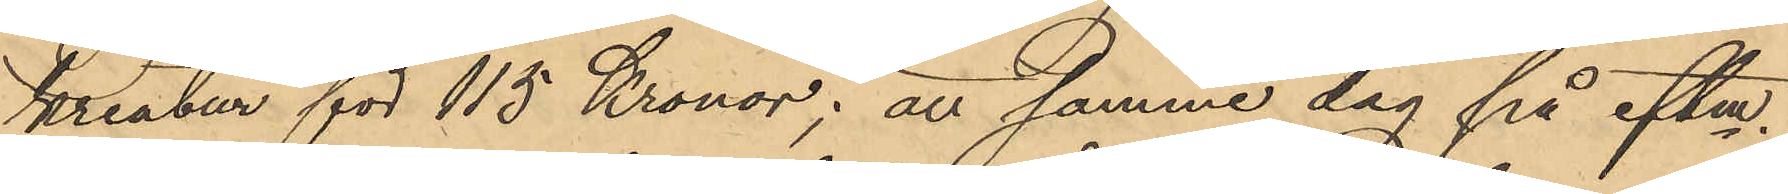kreatur för 115 Kronor; att samma dag på eftm.
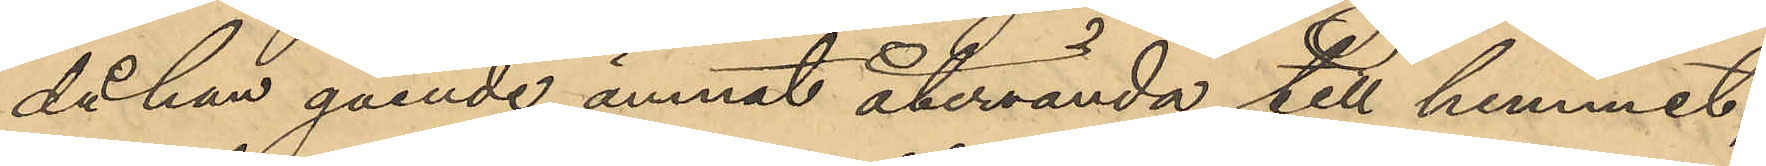då han gående ämnat återvända till hemmet,
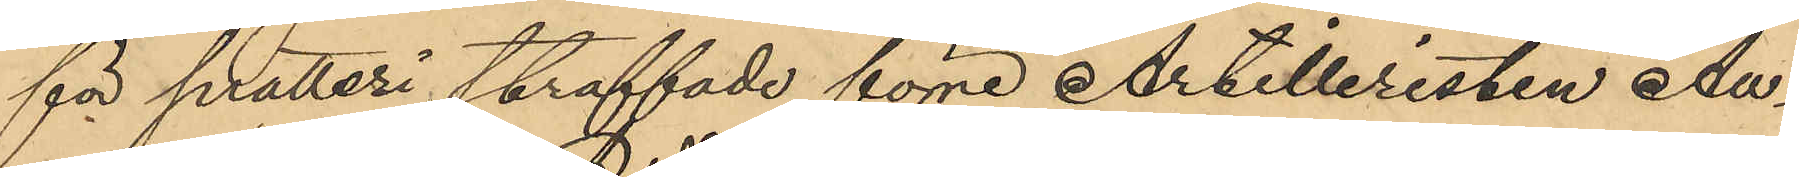för snatteri straffade förre Artilleristen Au¬
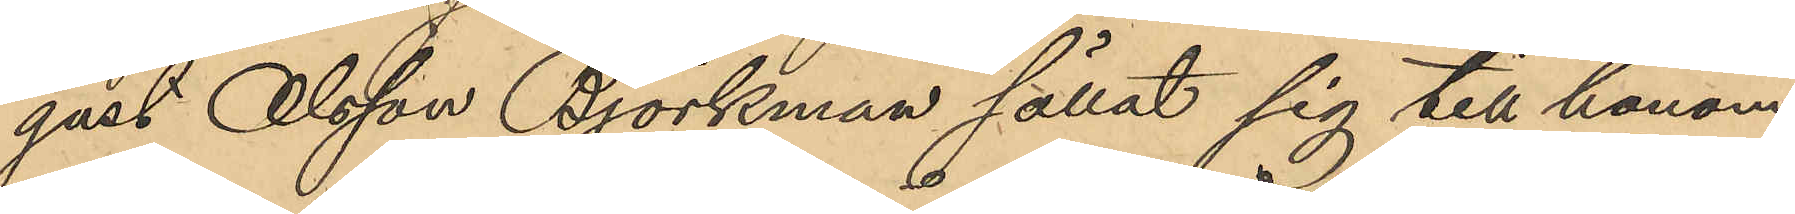gust Olsson Björkman sällat sig till honom
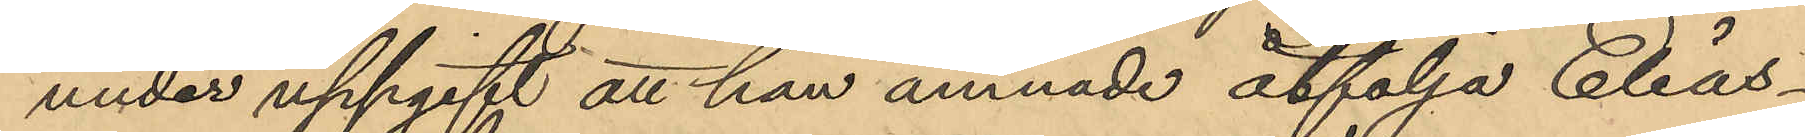under uppgift att han ämnade åtfölja Elias¬
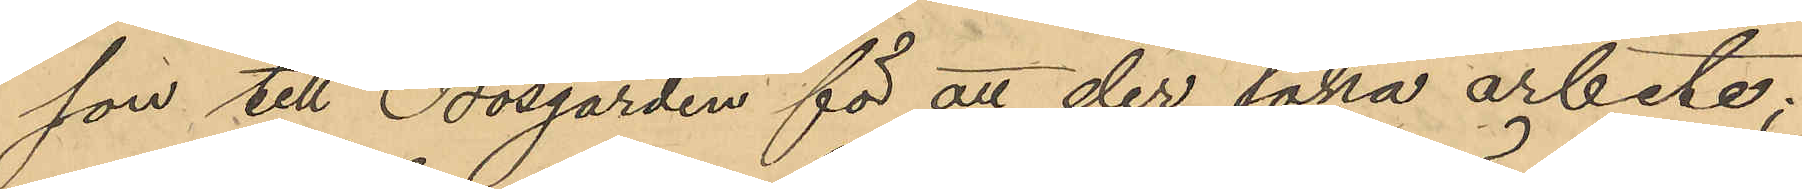son till Bosgården för att der söka arbete;
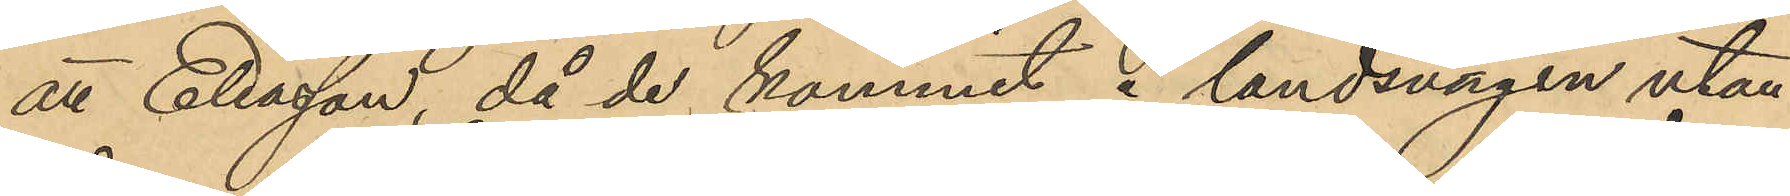att Eliasson, då de kommit i landsvägen utan¬
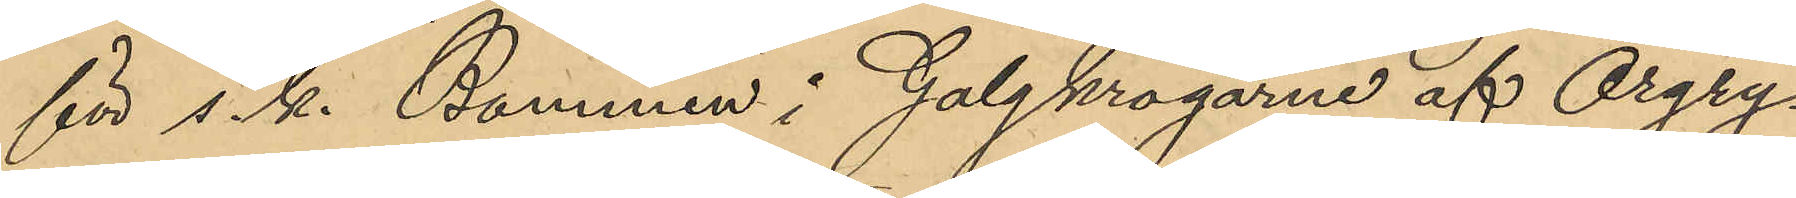för s. k. Bommen i Galgkrogarne af Örgry¬
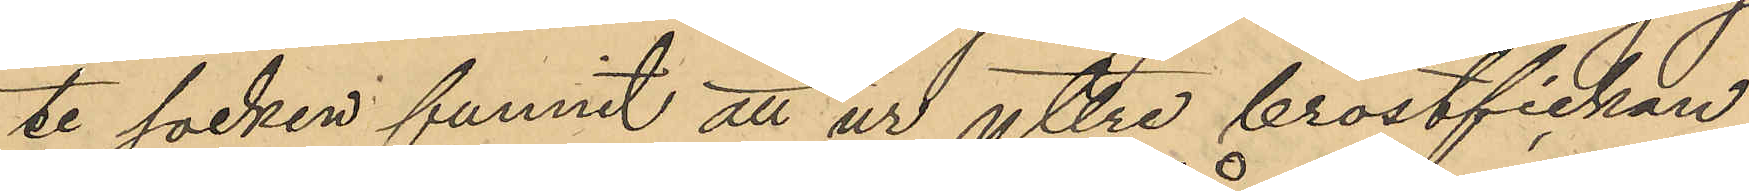te socken funnit att ur yttre bröstfickan
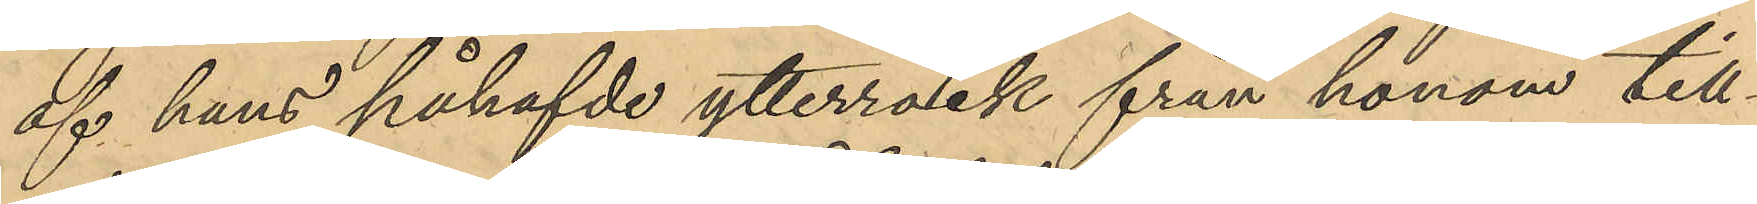af hans påhafvde ytterrock från honom till¬
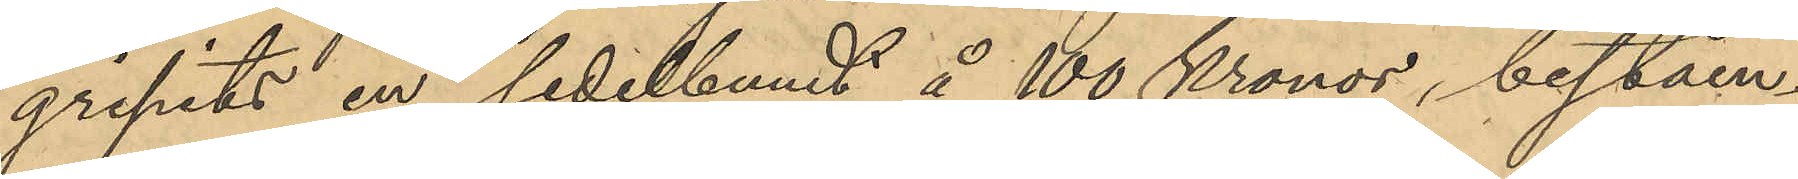gripits en sedelbundt å 100 Kronor, beståen¬
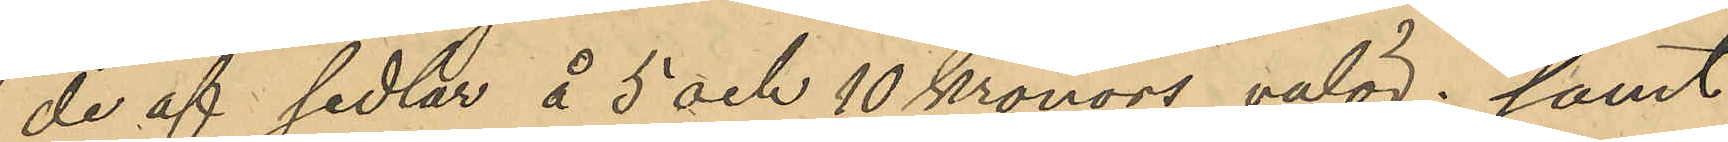de af sedlar å 5 och 10 Kronors valör; samt
